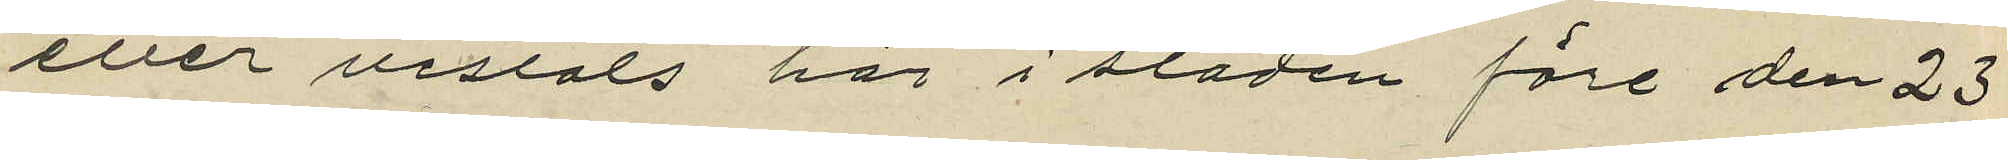eller vistats här i staden före den 23
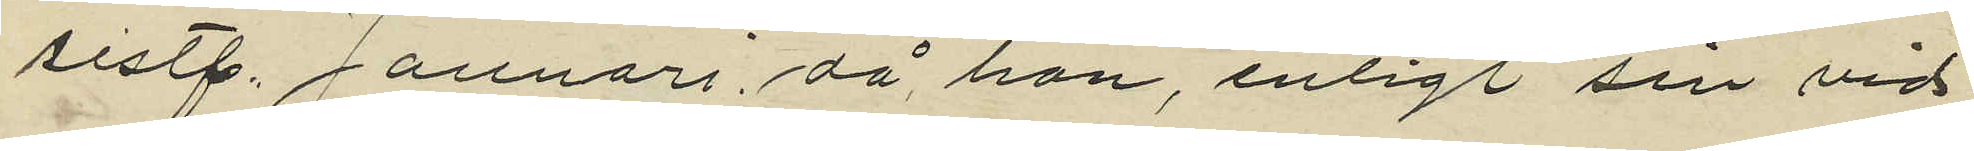sistl. Januari, då hon, enligt sin vid
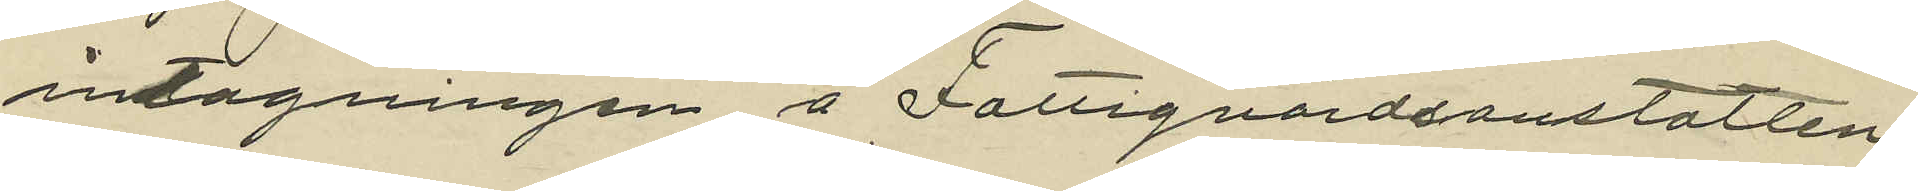intagningen å Fattigvårdsanstalten
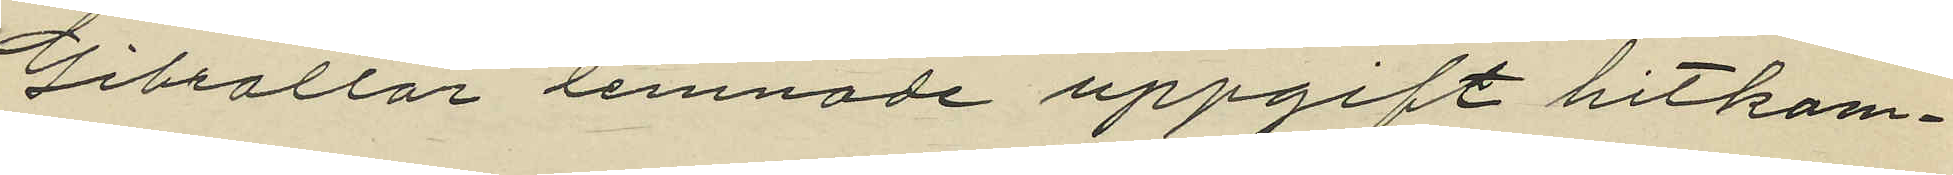Gibraltar lemnade uppgift hitkom¬
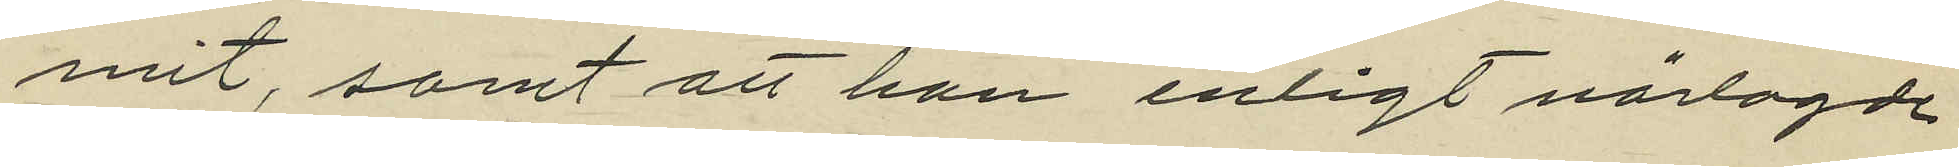mit, samt att hon enligt närlagde
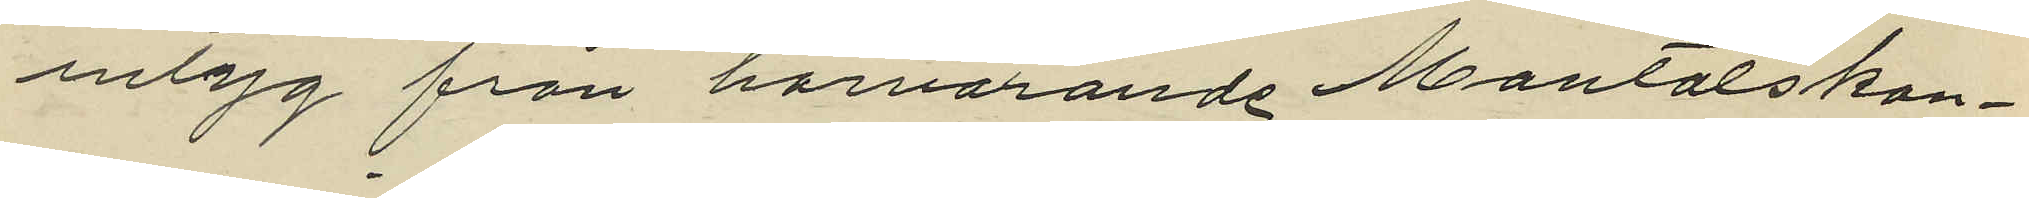intyg från härvarande Mantalskon¬
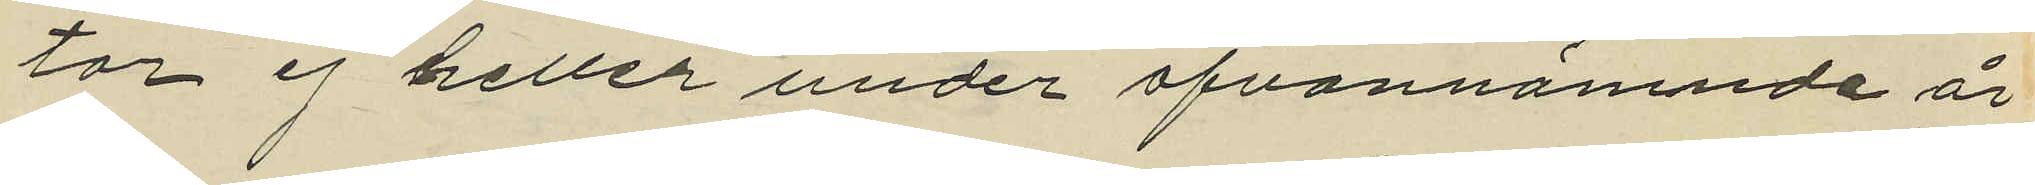tor ej heller under ofvannämnde är
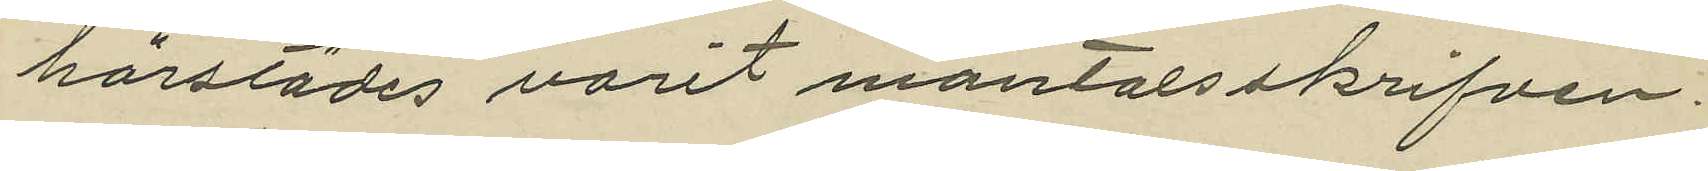härstädes varit mantalsskrifven.
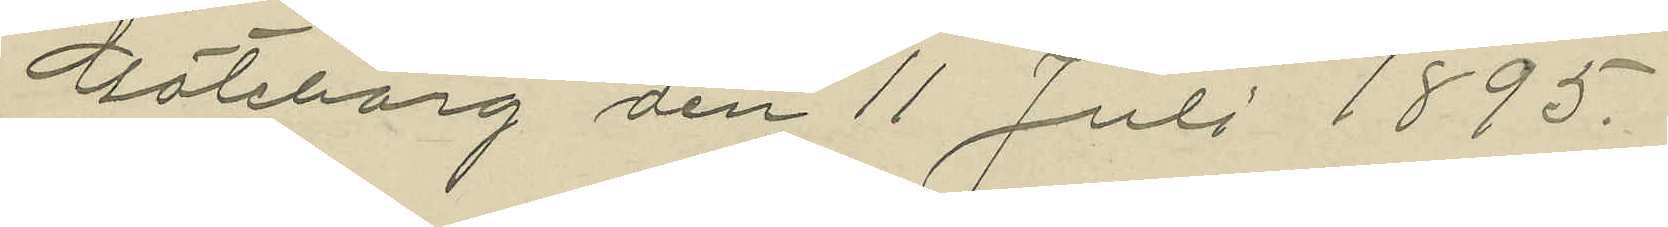Göteborg den 11 Juli 1895.
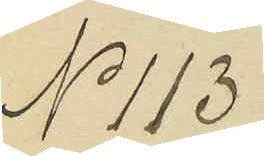No 113
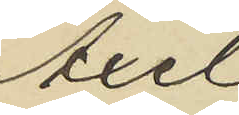Axel
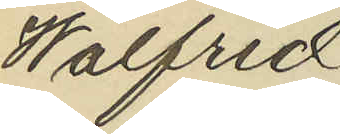Walfrid
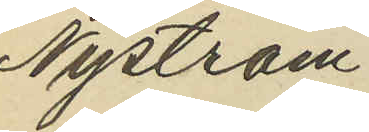Nyström
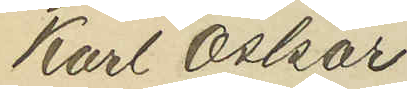Karl Oskar
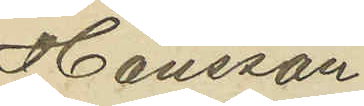Hansson
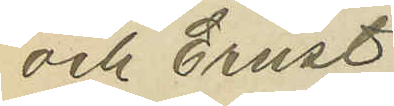och Ernst
